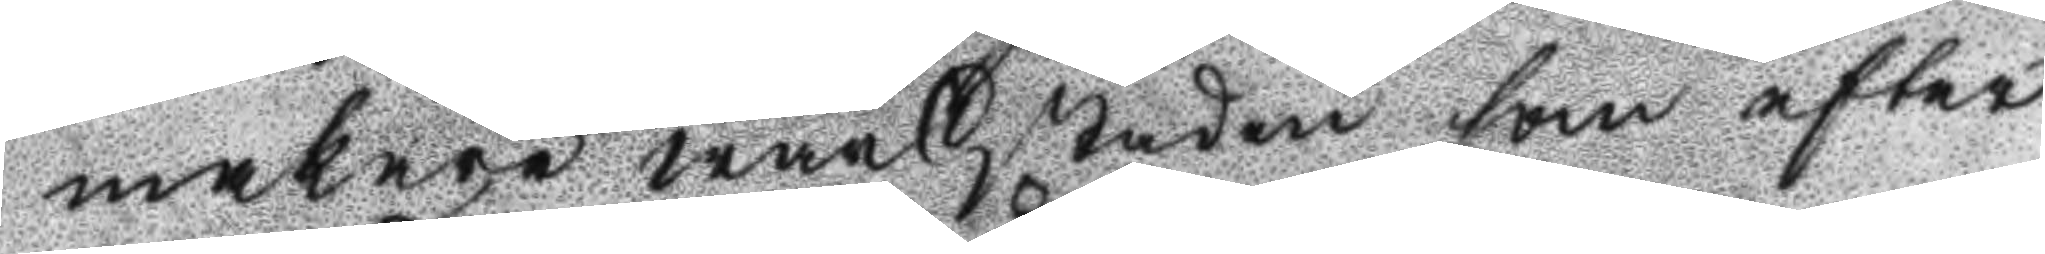makare wärkstaden som efter
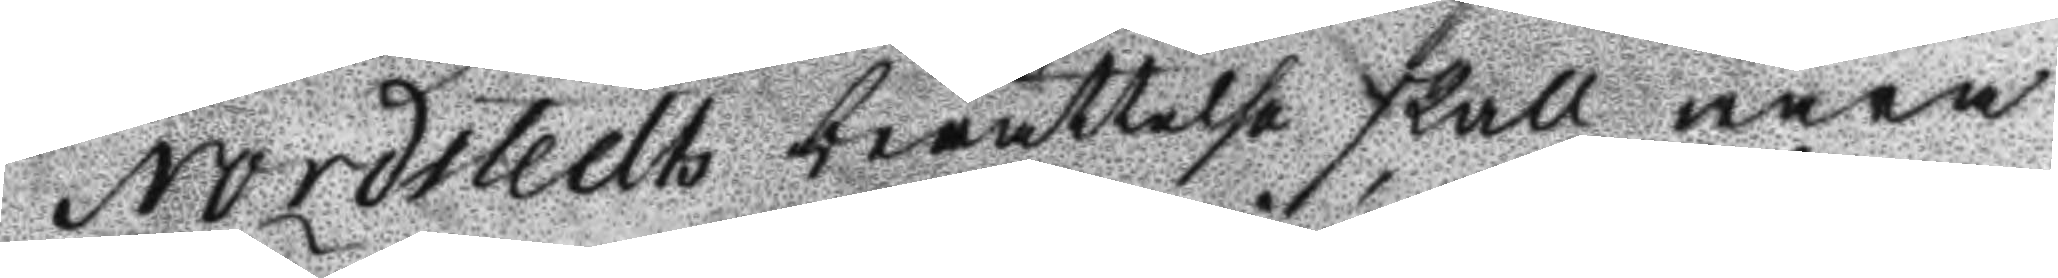Nordstedts berättelse skall wara
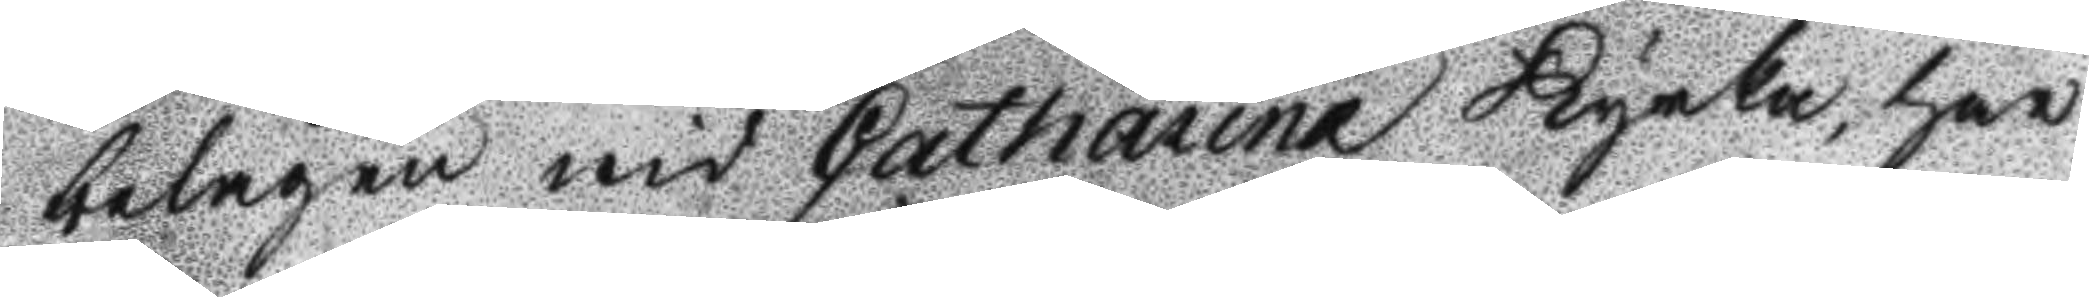belägen wid Catharina Kyrka, har
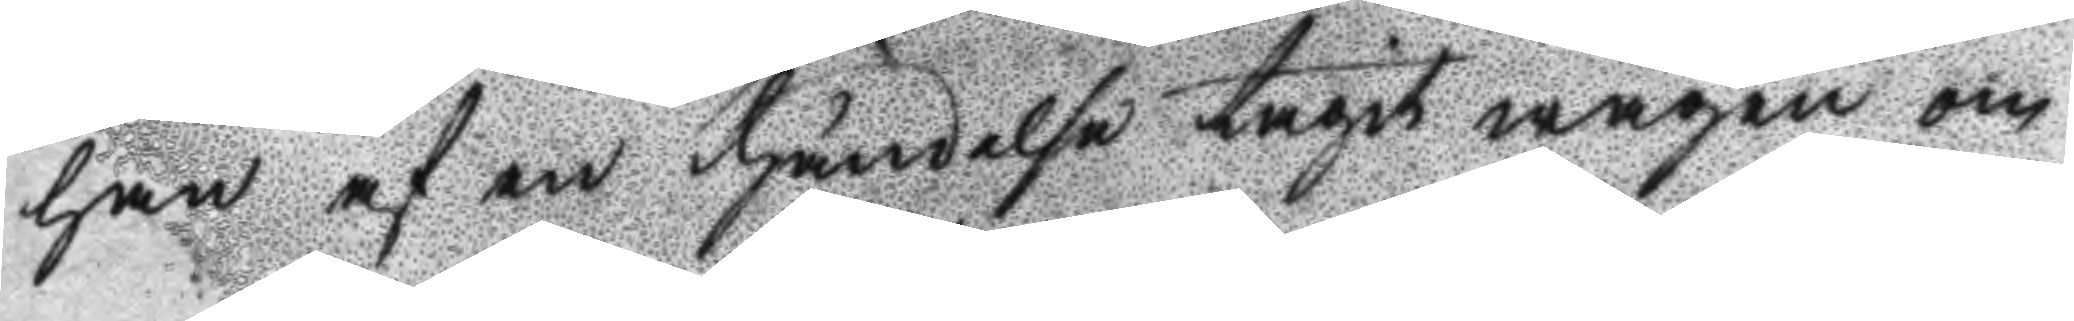han af en händelse tagit wägen om
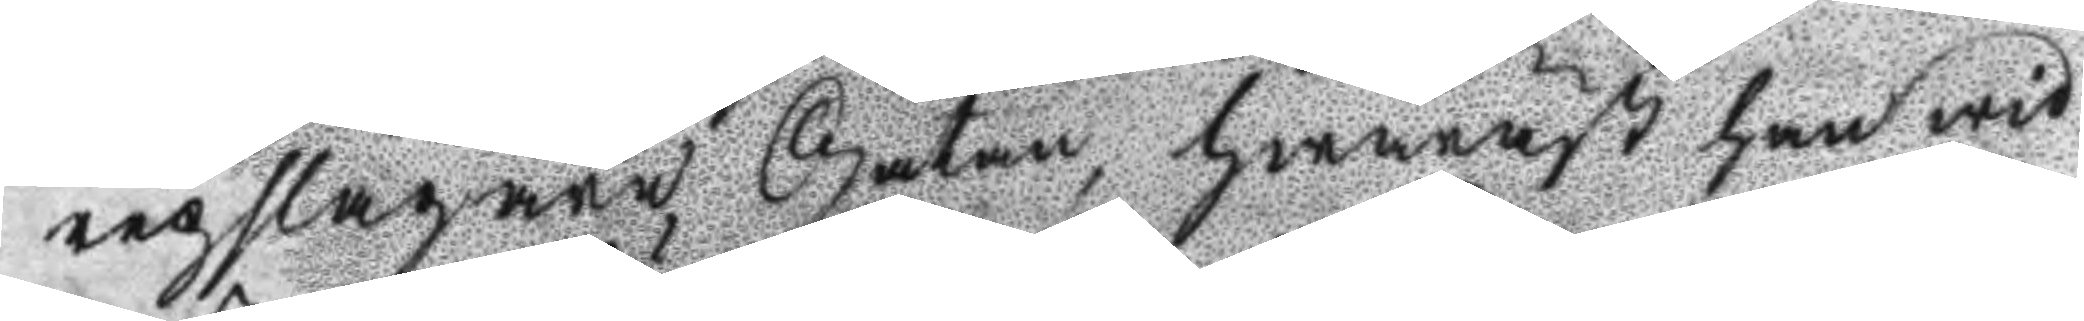repslagare Gatan, hwaräst han wid
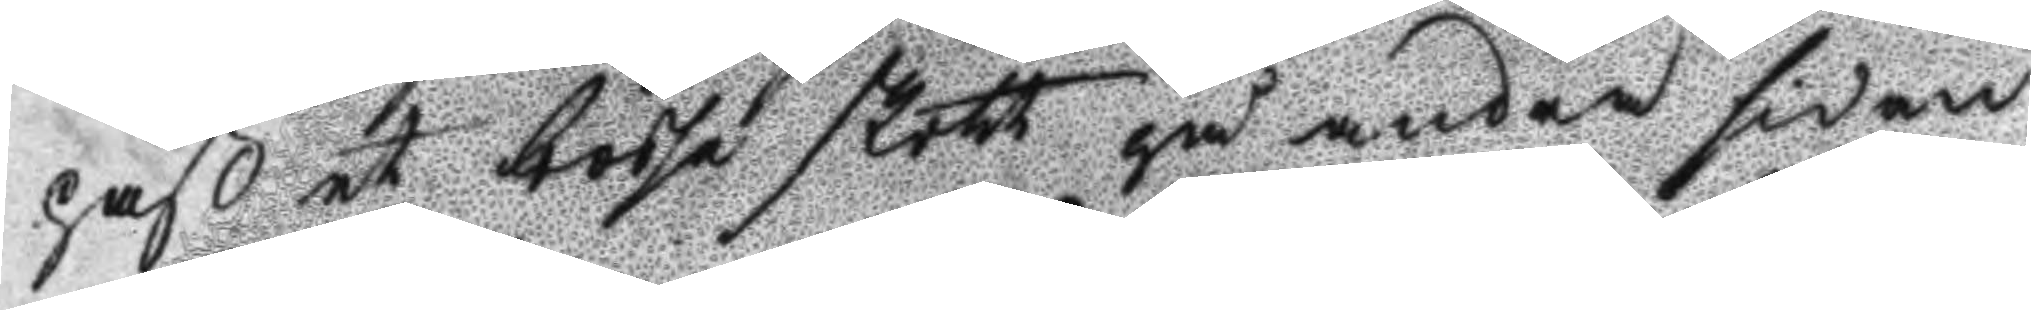paß et bösse skott på andra sidan
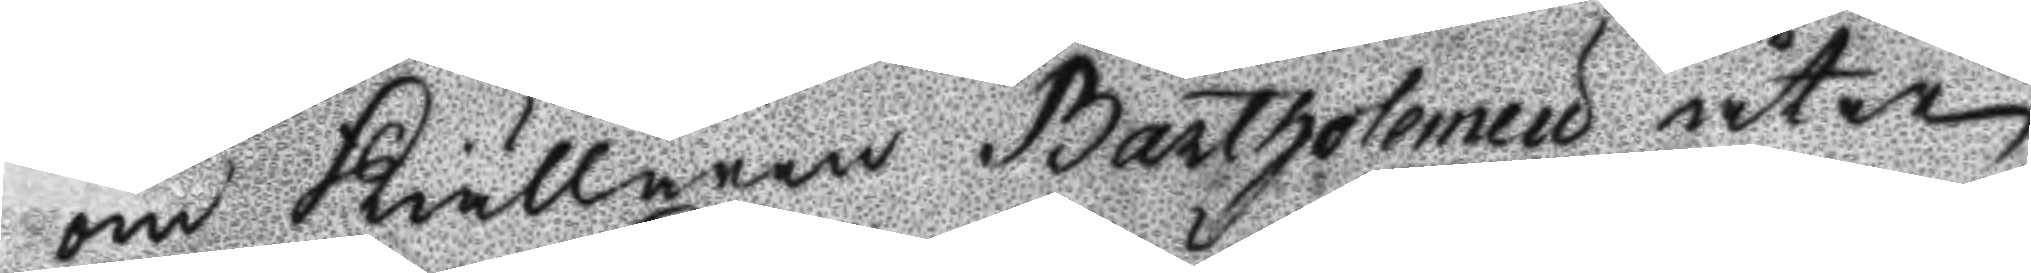om Kiällaren Bartholemeu åter
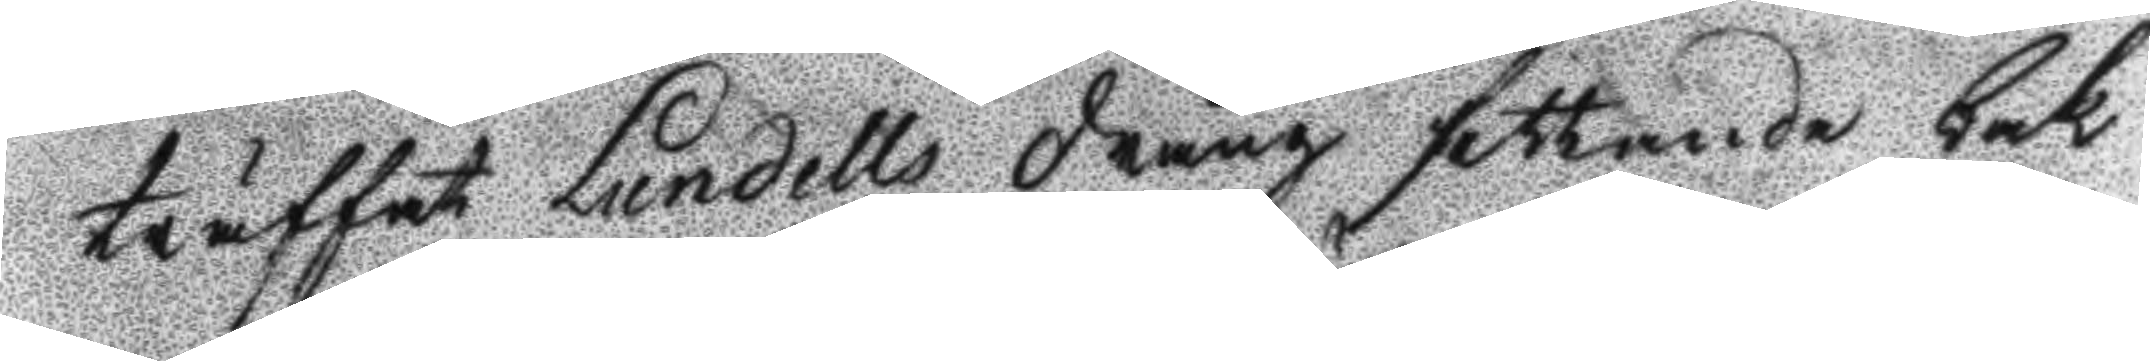träffat Lundells dräng sittande bak
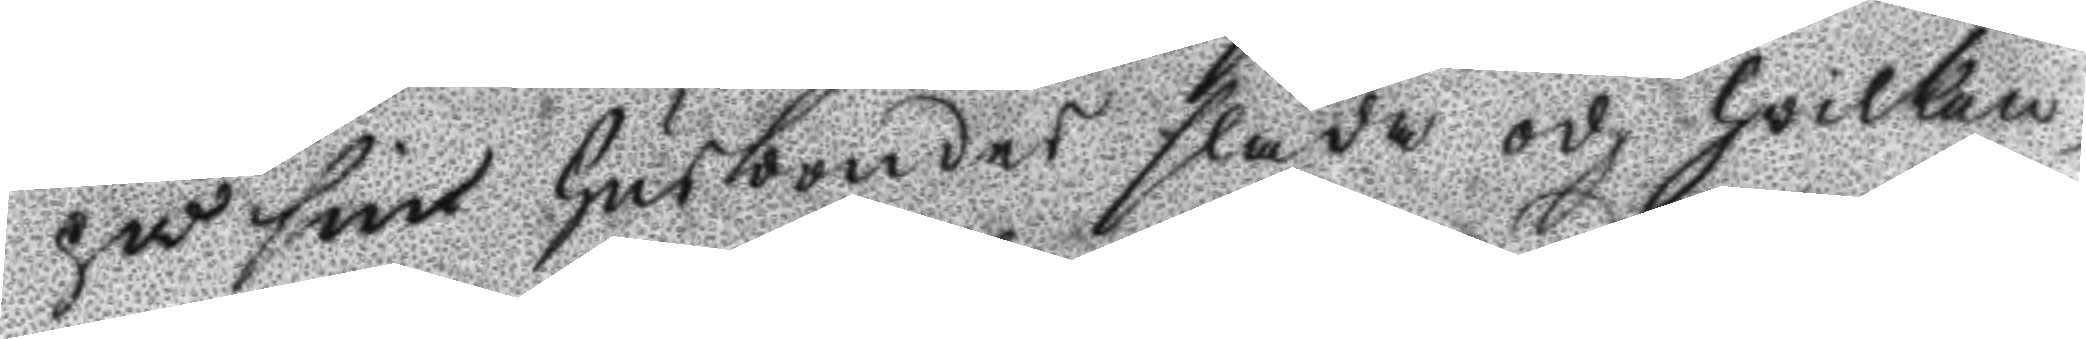på sin husbondes släde och hvilken
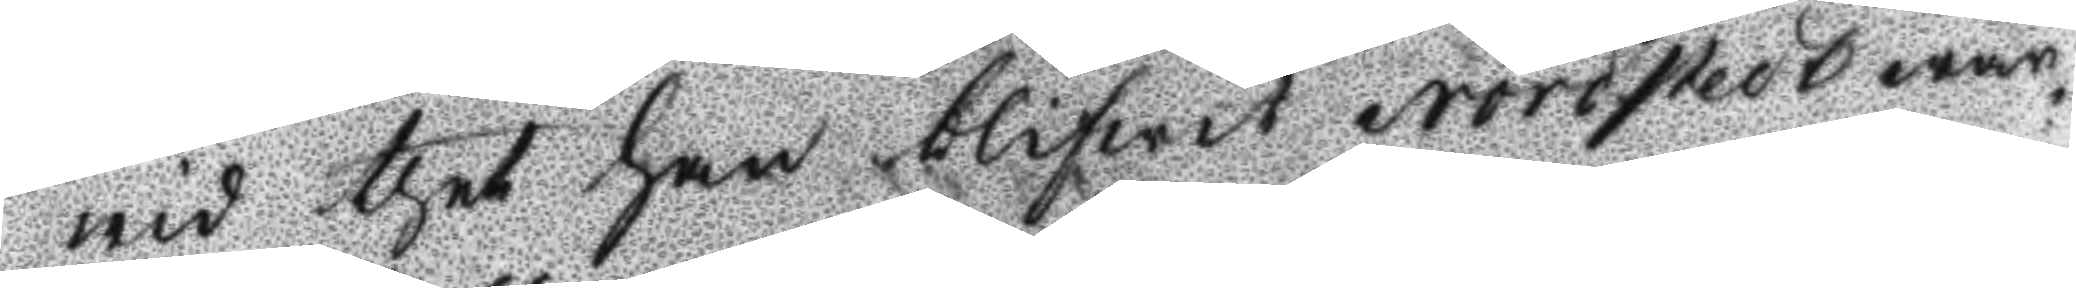wid thet han blifwit Nordstedt war¬
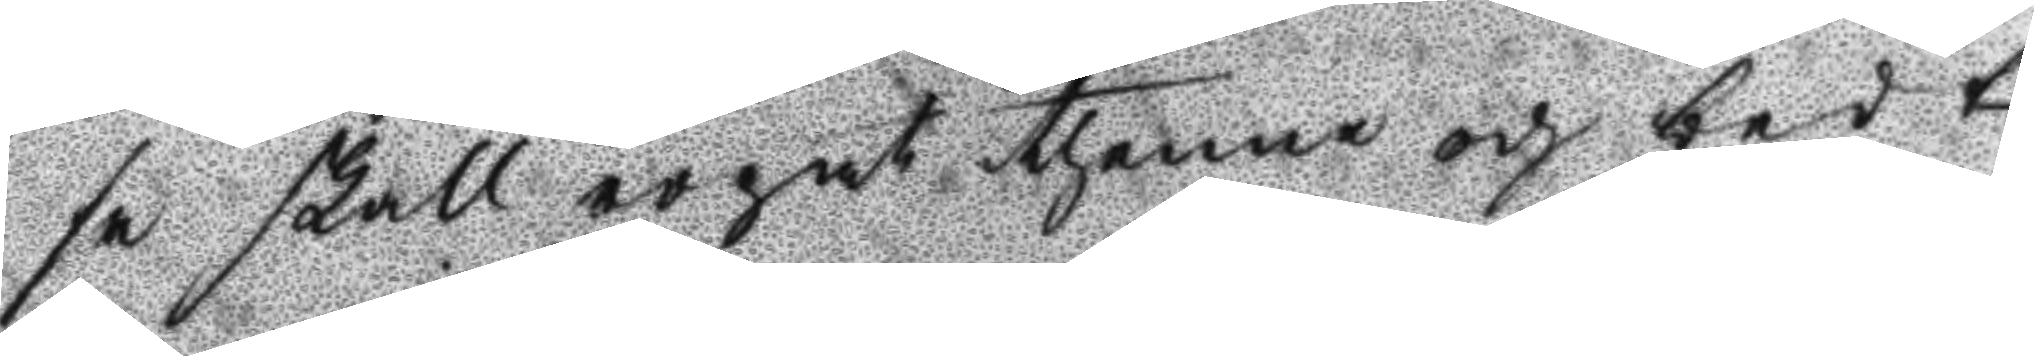se skall ropat thenne och bedt
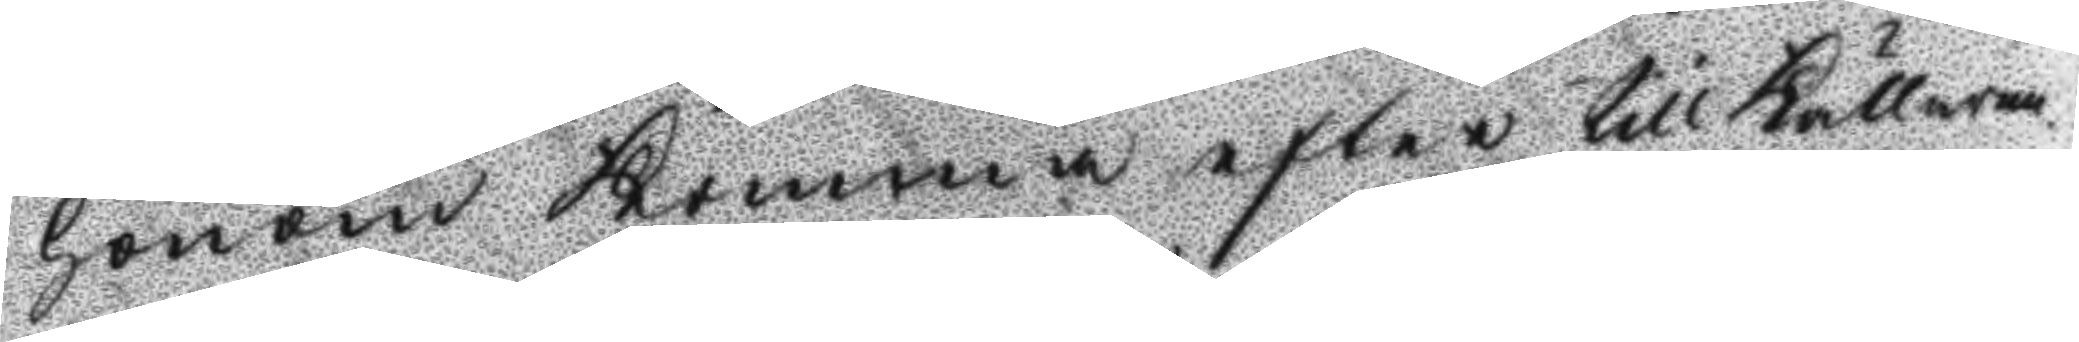honom komma efter till Källaren.
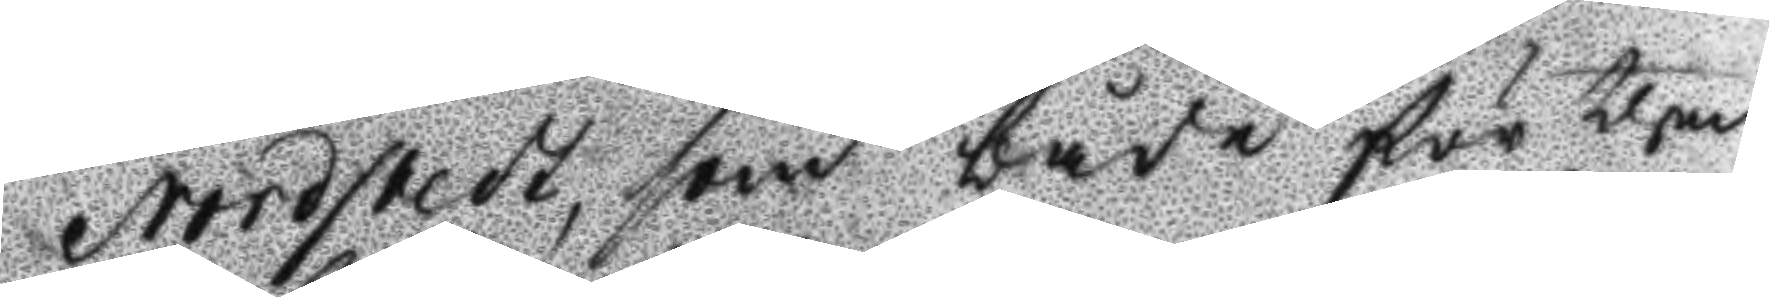Nordstedt, som både för then
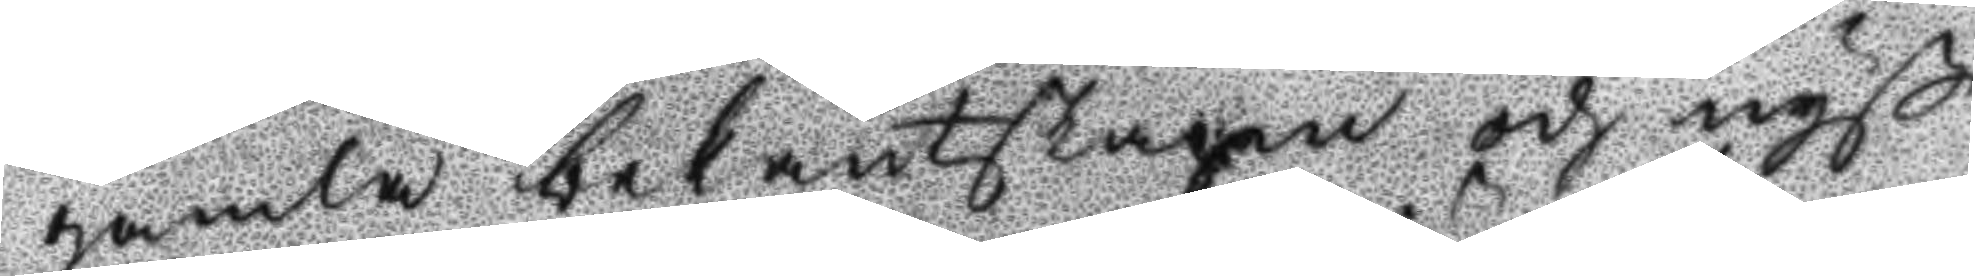gamla bekantskapen och nyß
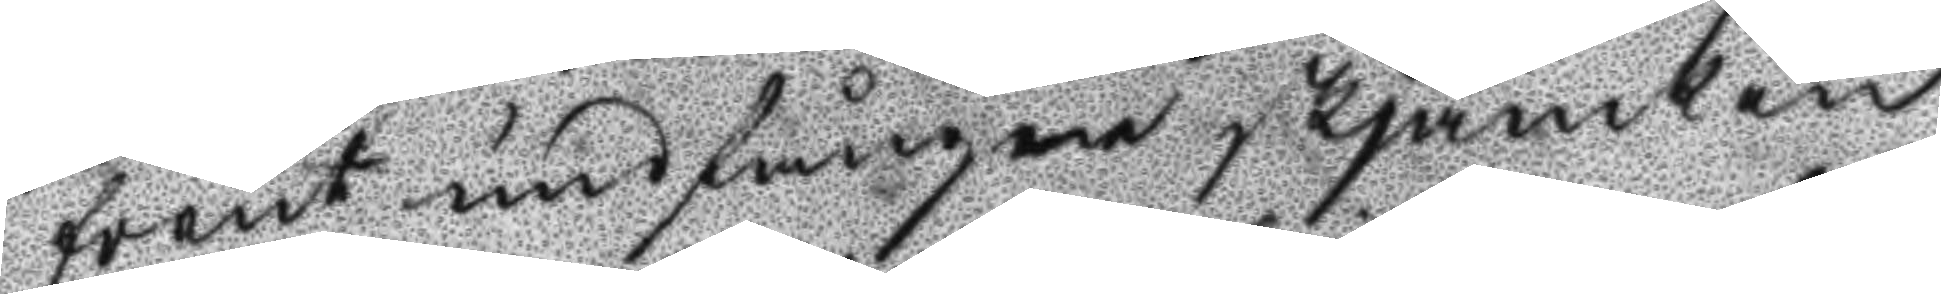förut undfångne skjänken
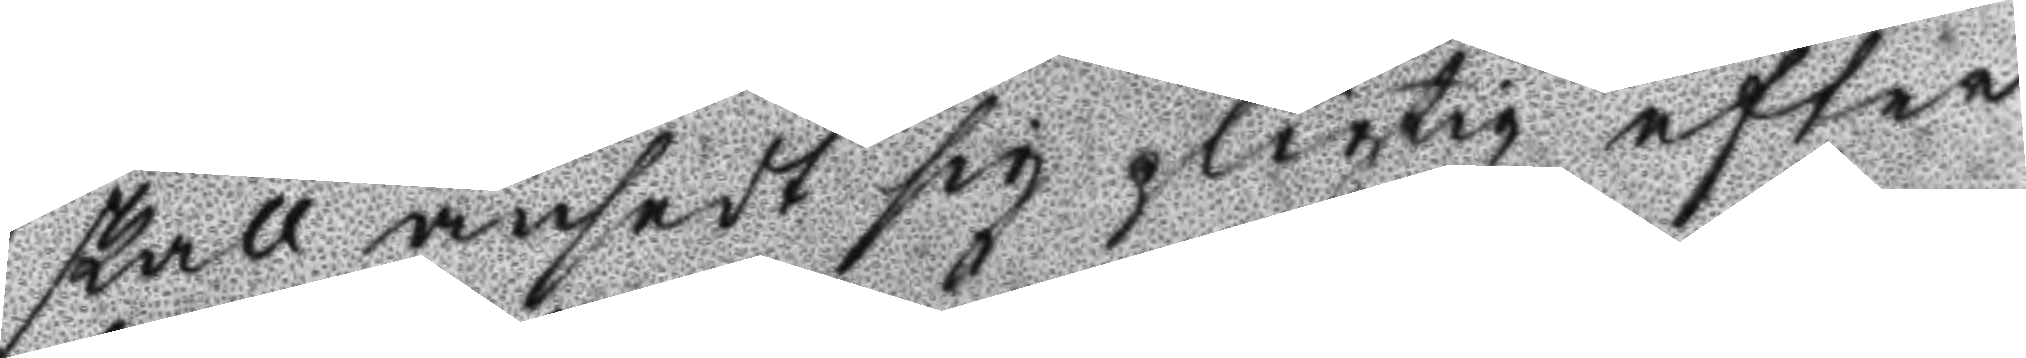skall ansedt sig pligtig efter
